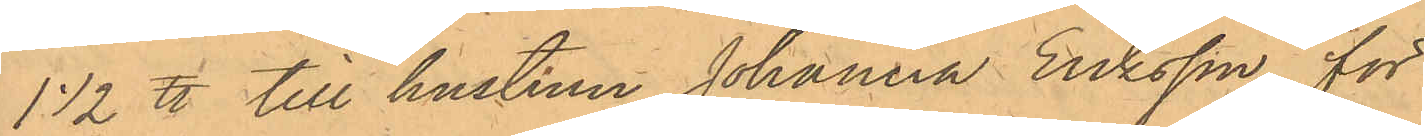1 1/2 ℔ till hustrun Johanna Eriksson för 
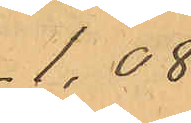1.08.
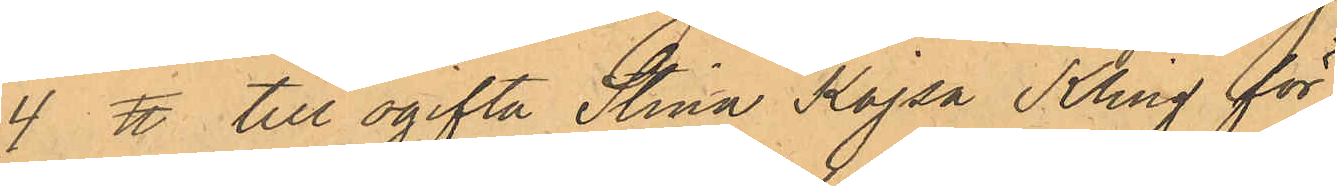4 ℔ till ogifta Stina Kajsa Kling för
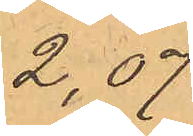2,07.
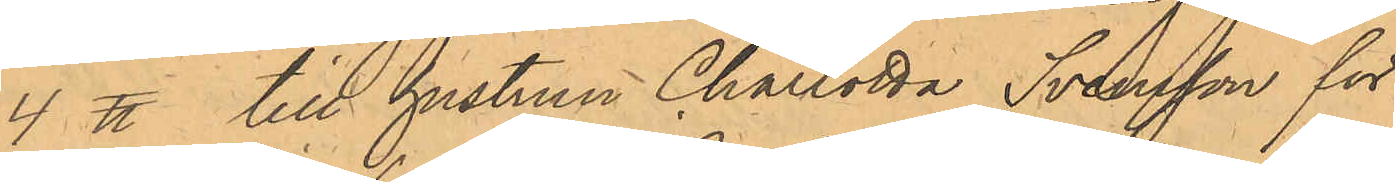4 ℔ till hustrun Charlotta Svensson för
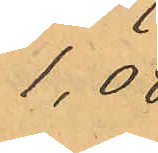1.08
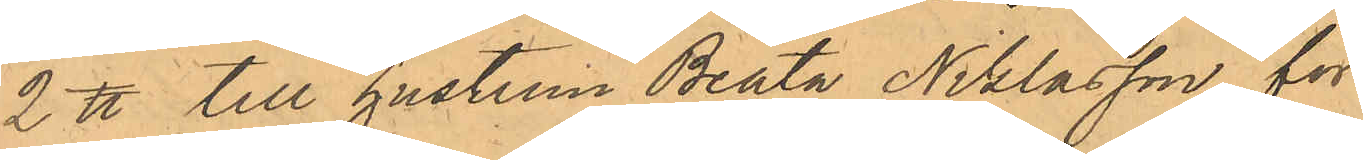2 ℔ till hustrun Beata Niklasson för 
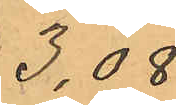3.08.
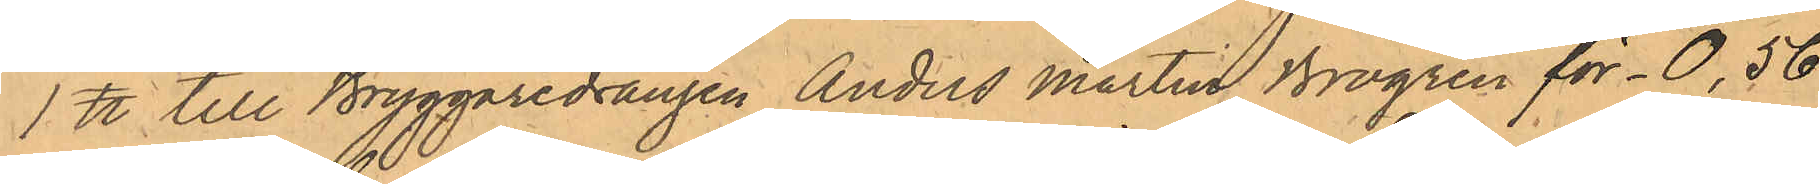1 ℔ till Bryggaredrängen Anders Martin Brogren för 0,56.
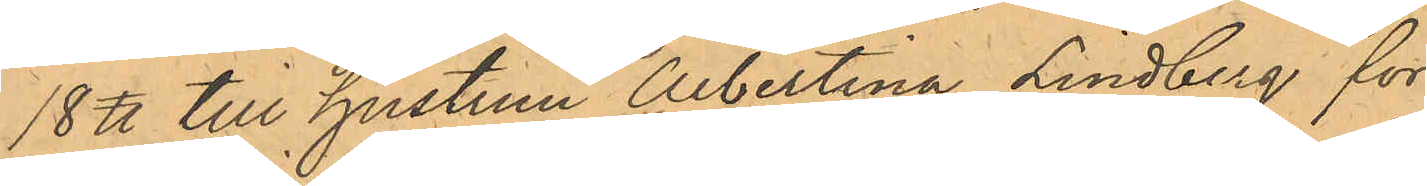18 ℔ till hustrun Albertina Lindberg för 
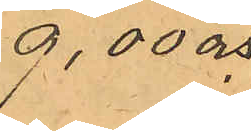9,00 och
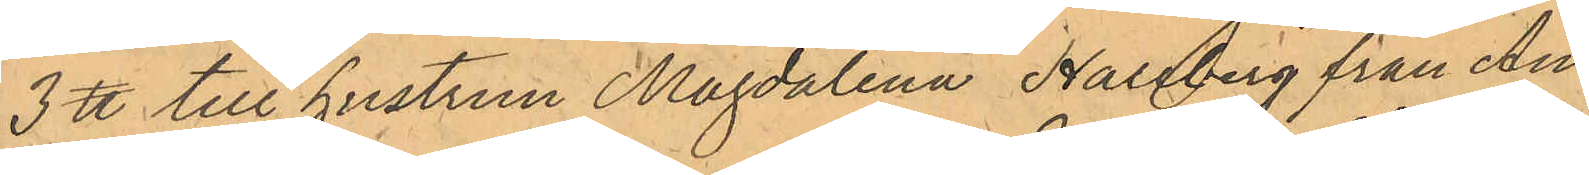3 ℔ till hustrun Magdalena Hallberg från An¬
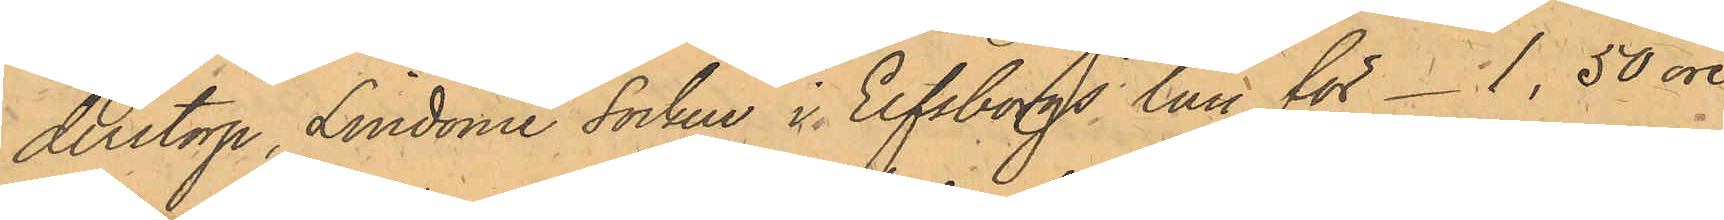derstorp, Lindome Socken i Elfsborgs län för 1,50 öre;
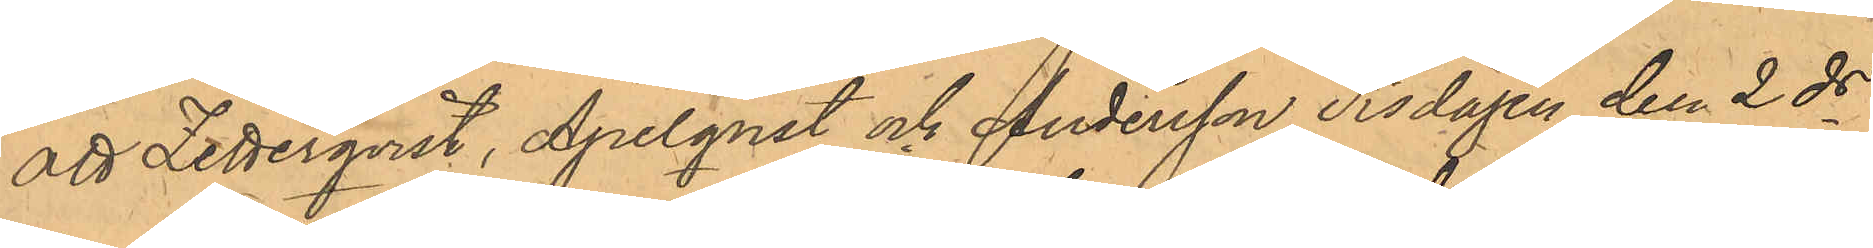att Zetterqvist, Apelqvist och Andersson Tisdagen den 2 ds
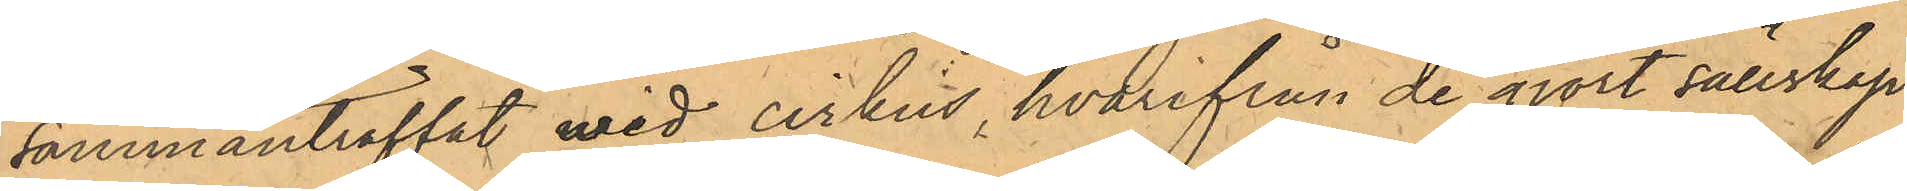sammanträffat wid cirkus, hvarifrån de gjort sällskap
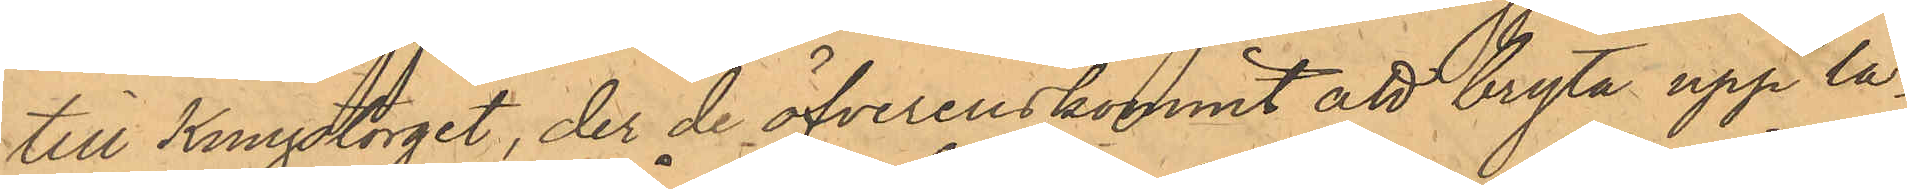till Kungstorget, der de öfverenskommit att bryta upp lå¬
